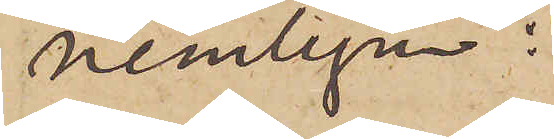nemligen:
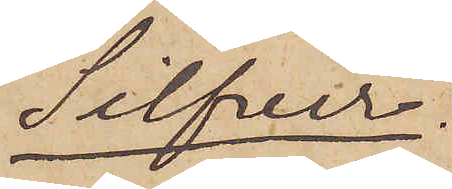Silfver.
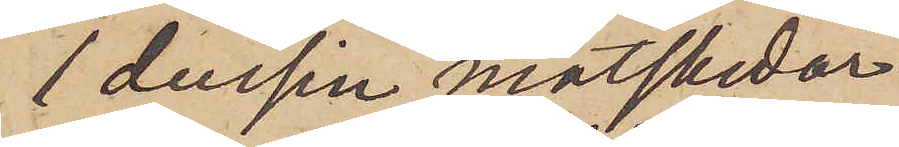 1 dussin matskedar
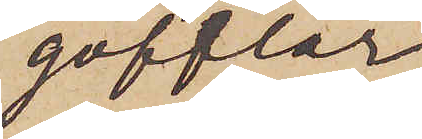gafflar
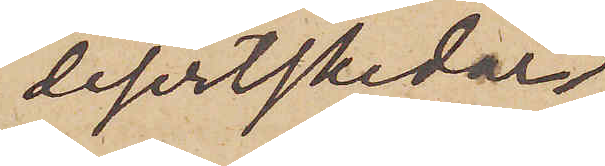desertskedar
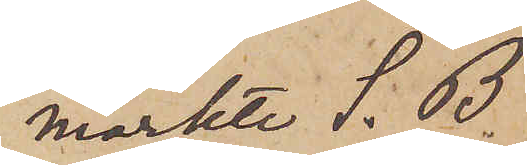märkte S. B.
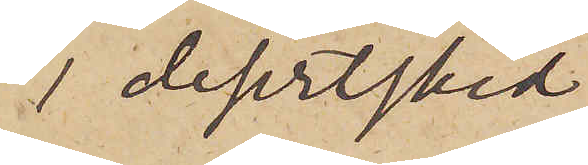1 desertsked
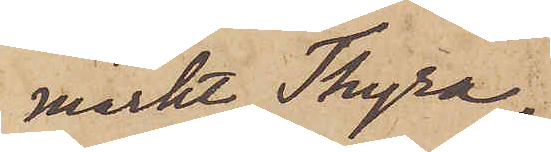märkt Thyra.
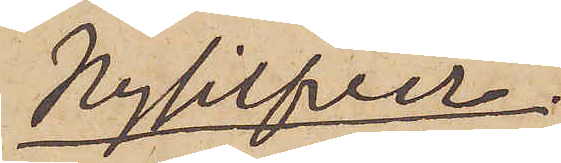Nysilfver.
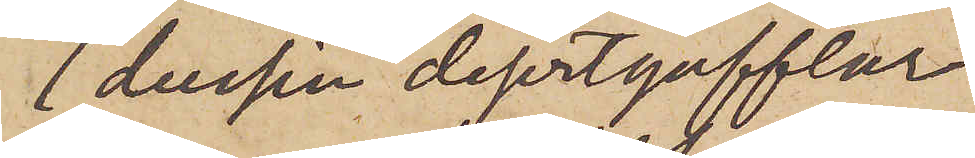 1 dussin desertgafflar
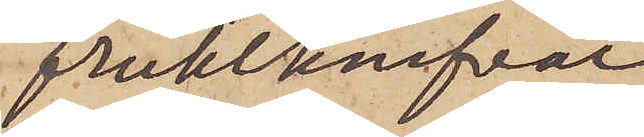fruktknifvar
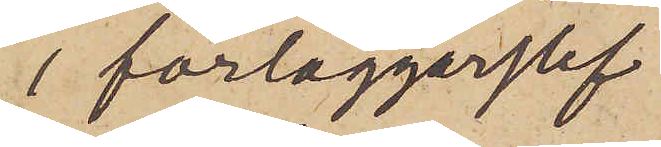1 förläggarslef
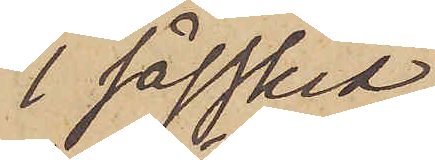1 Såssked
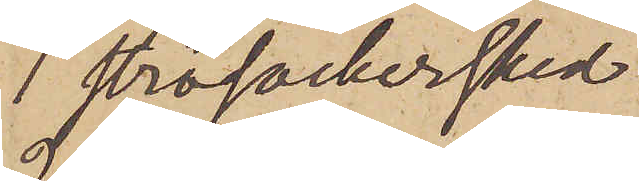1 strösockersked
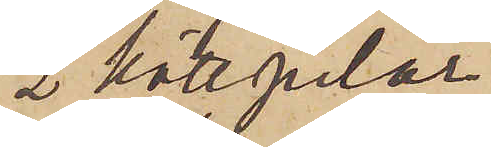2 köttpilar
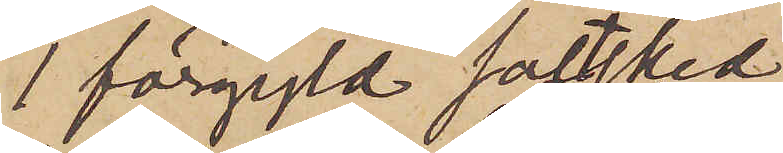1 förgyld saltsked
